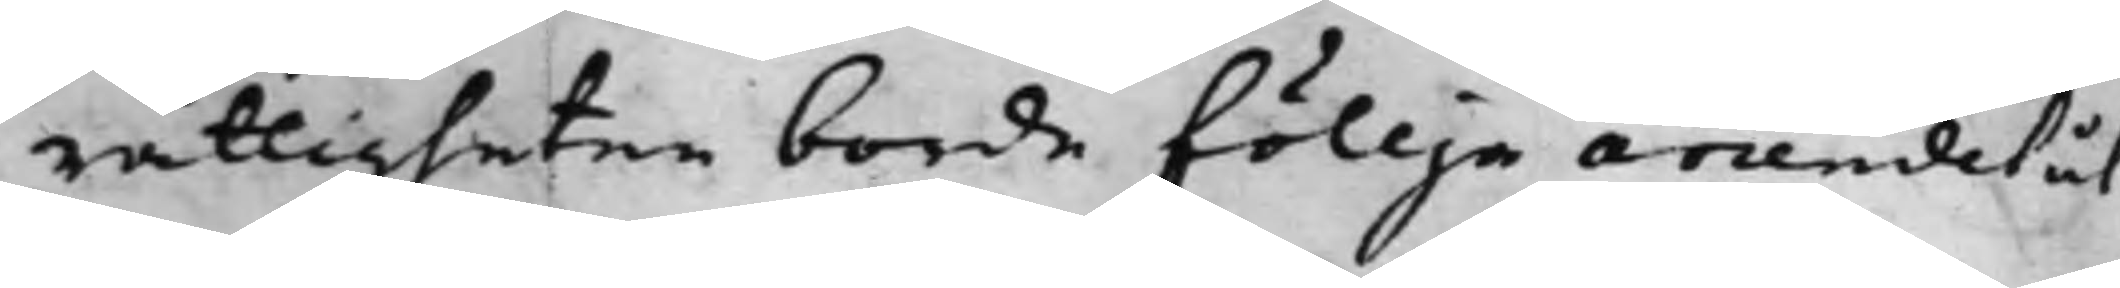rättigheten borde föllja arrendet åt,
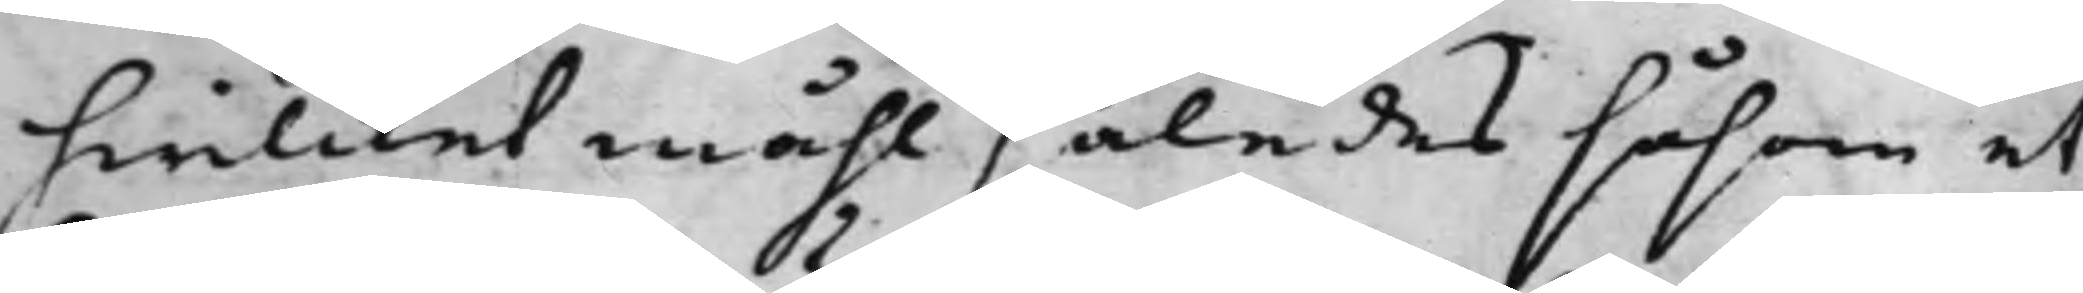hwilcket måhl således såsom et
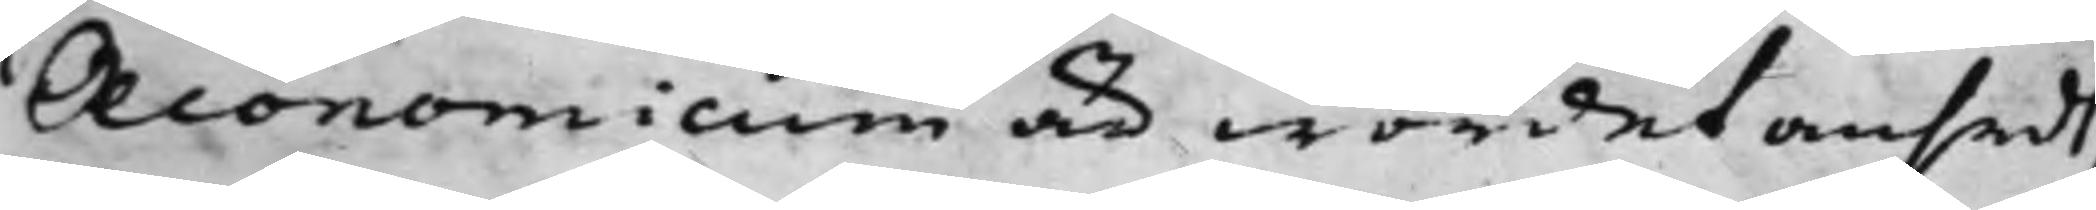Oeconomicum är wordet ansedt;
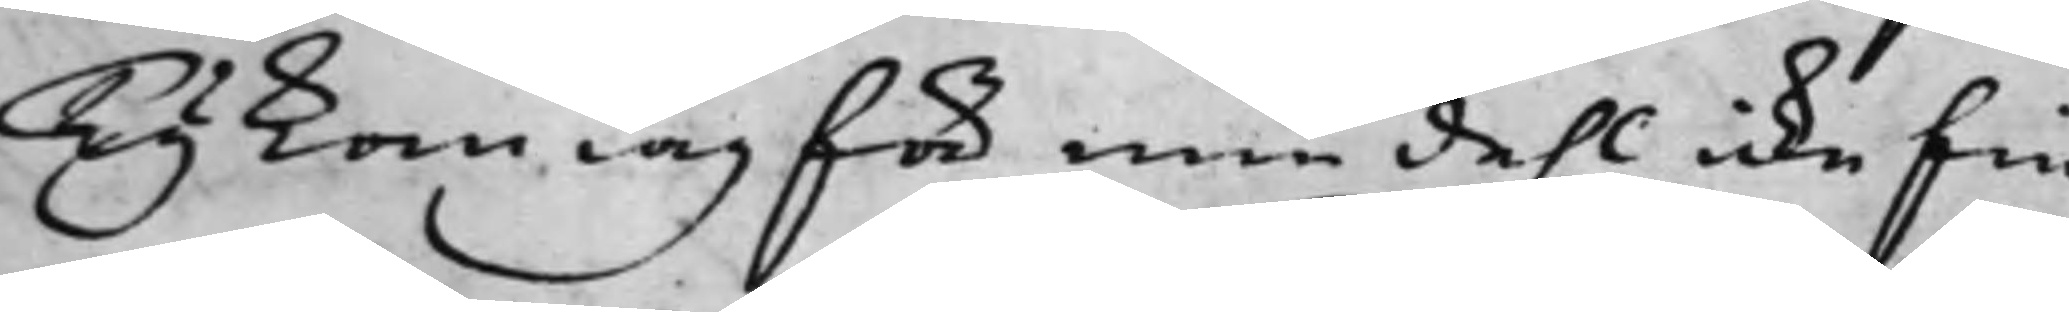Ty kan iag för min dehl icke fin¬
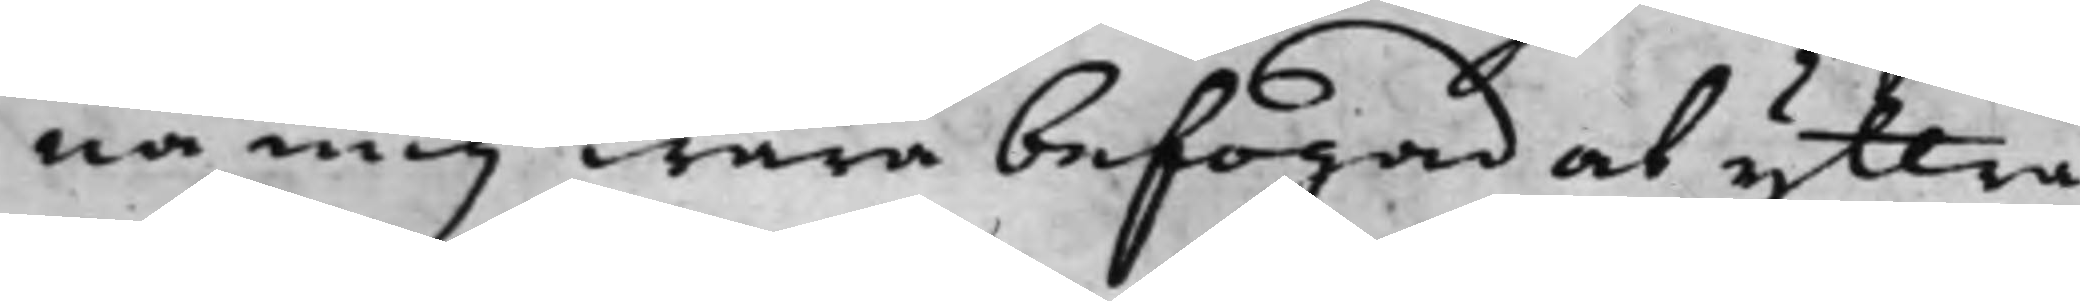na mig wara befogad at yttra
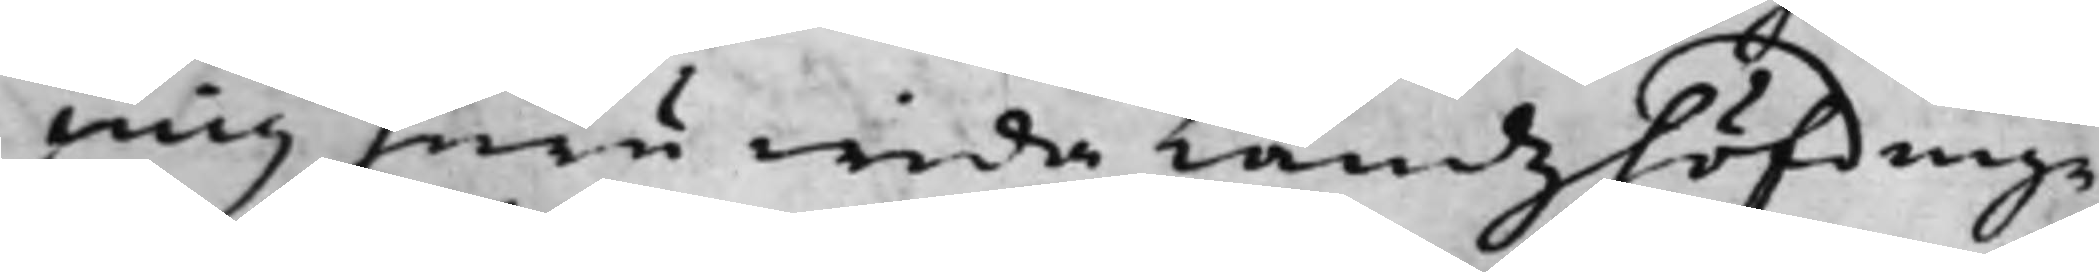mig huru wida Landzhöfdinge¬
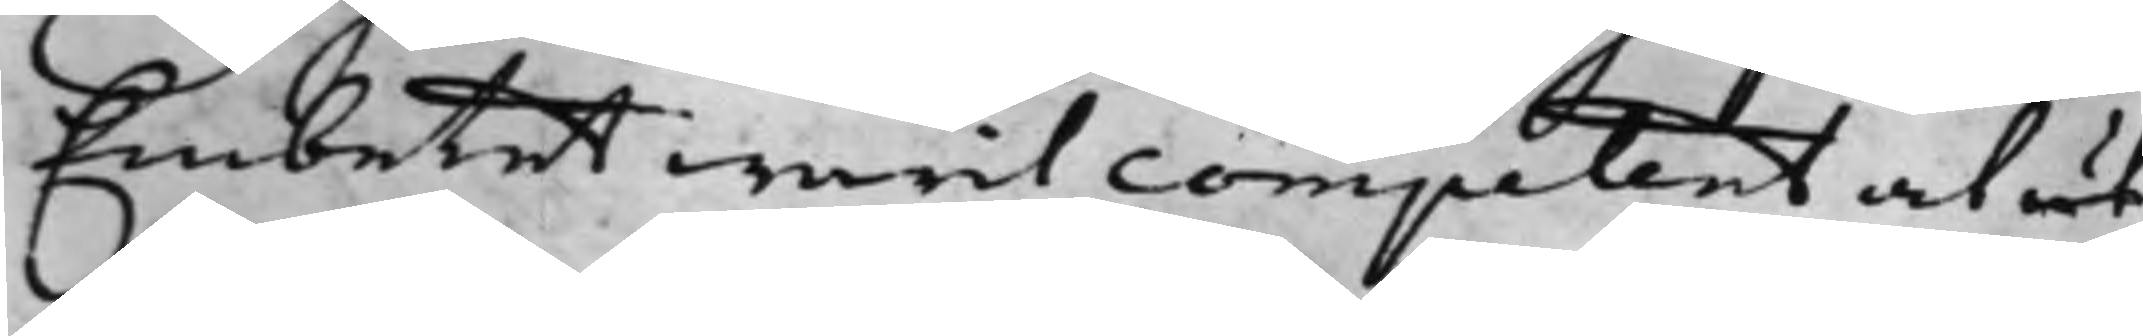Embetet warit comptent at ut
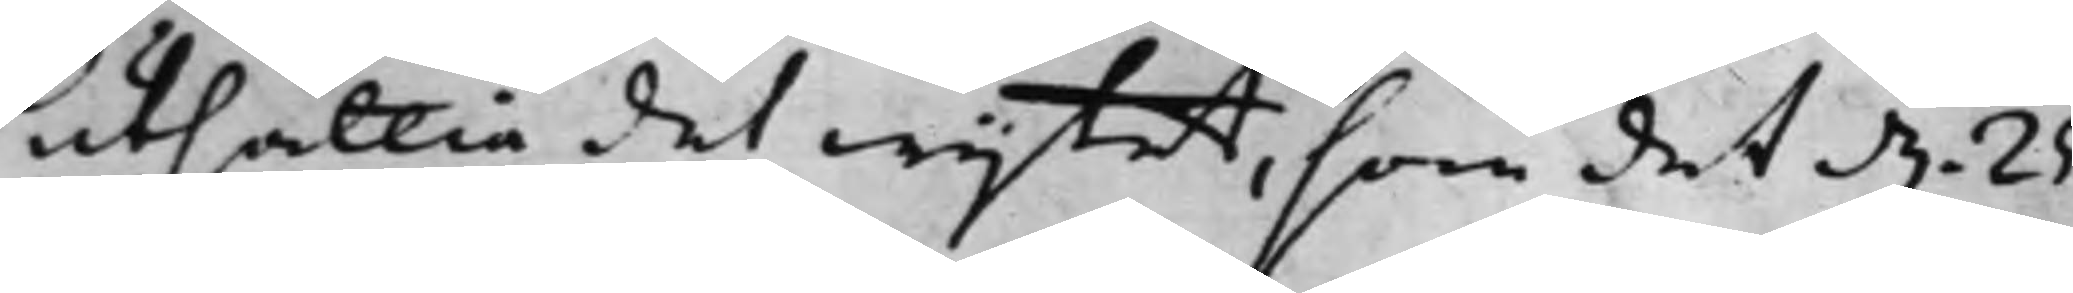utsättia det wijtet, som det d. 25.
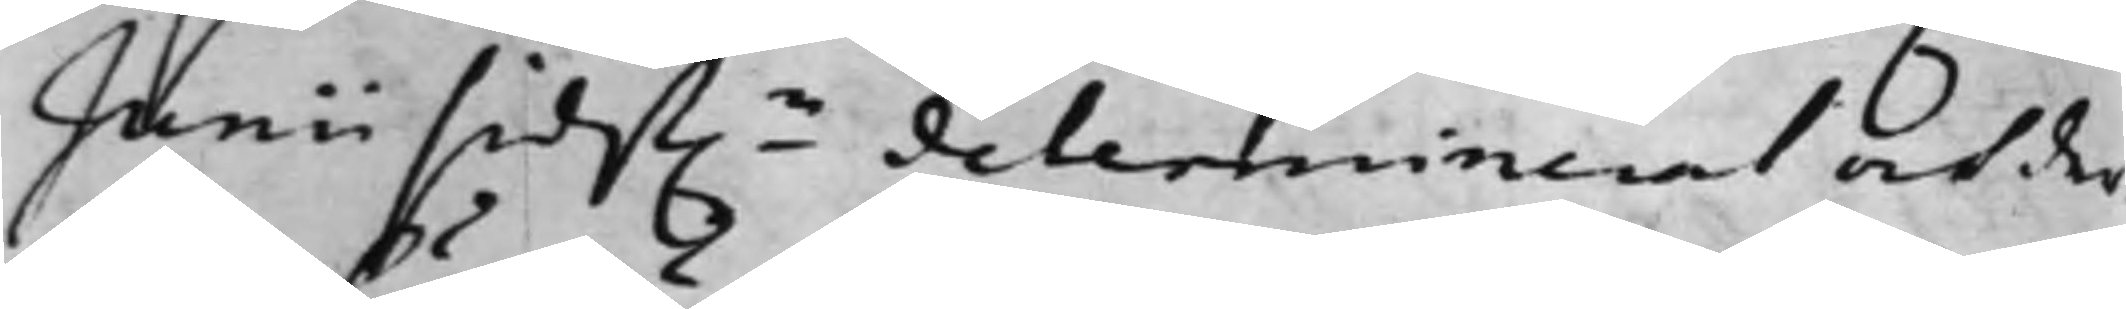Junii sidst.ne determinerat och der¬
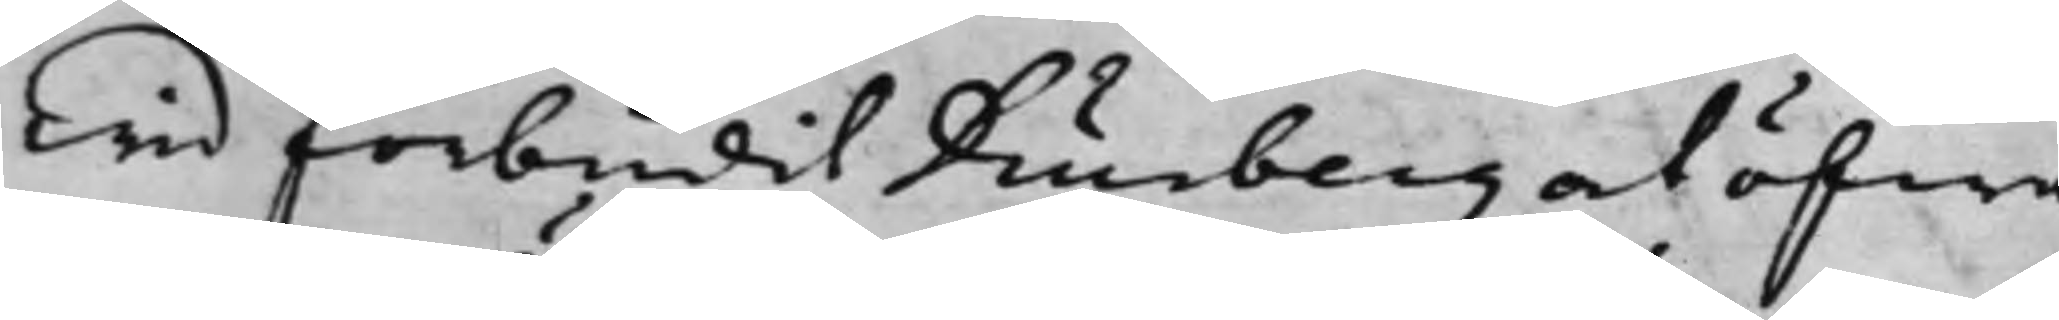wid förbudit Diurberg at öfwa
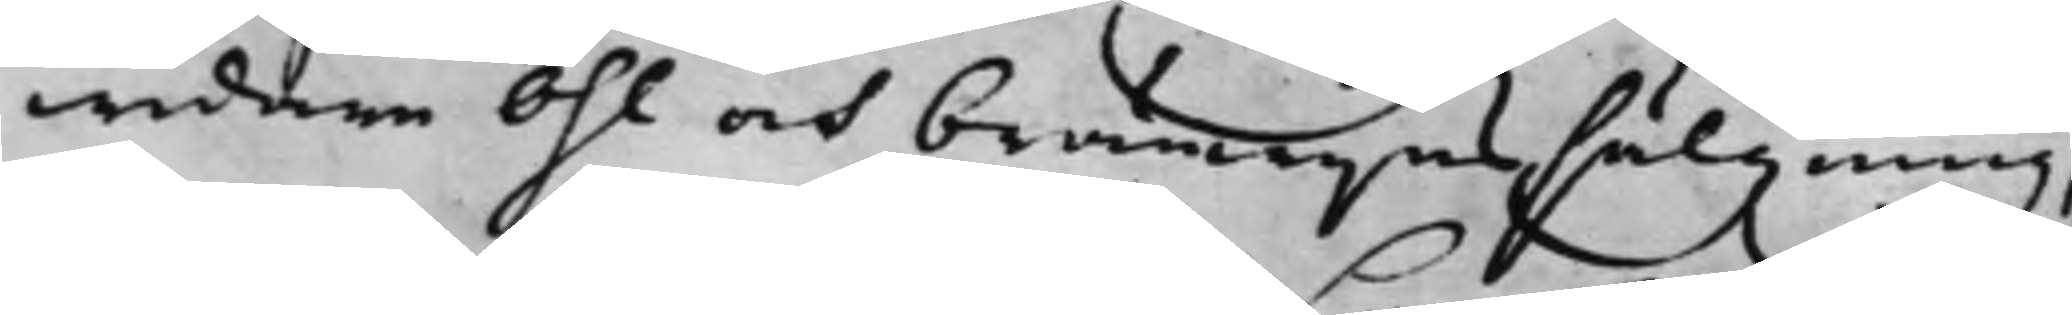widare Öhl och bränwijnssälgning;
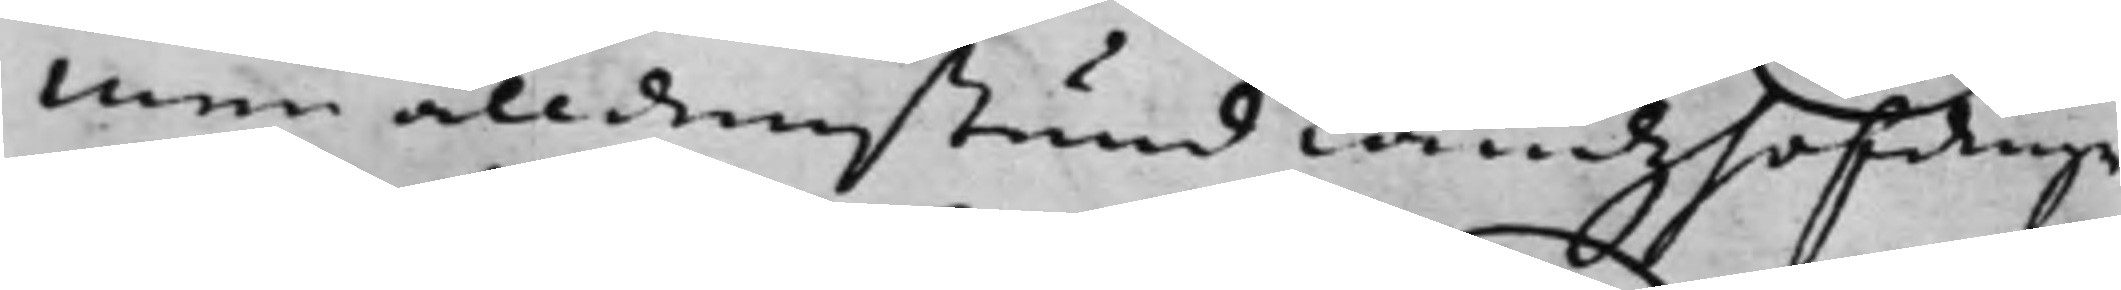Men alldenstund Landzhöfdinge¬
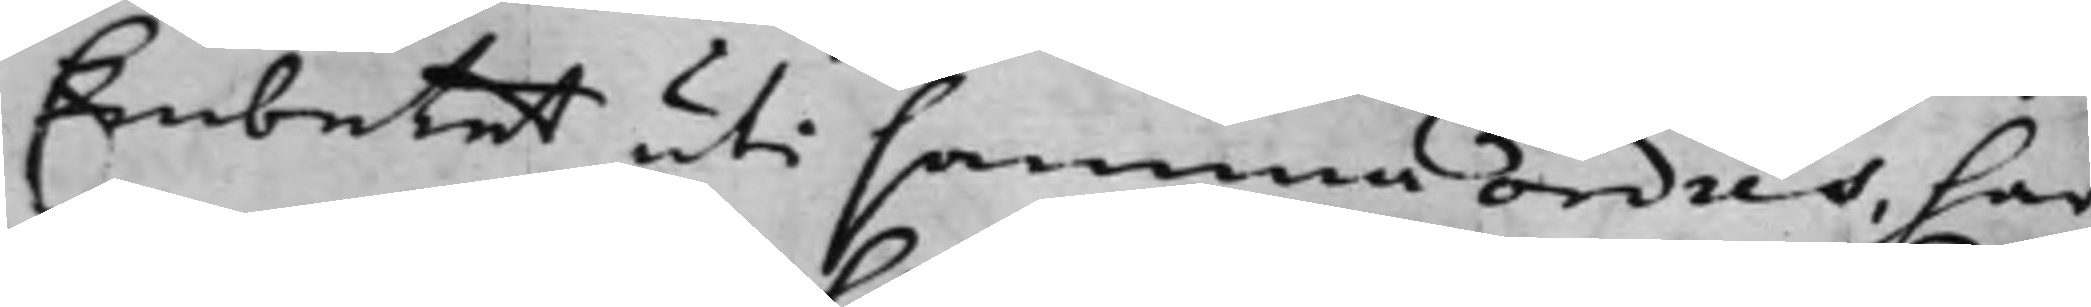Embetet uti samma ordes, har
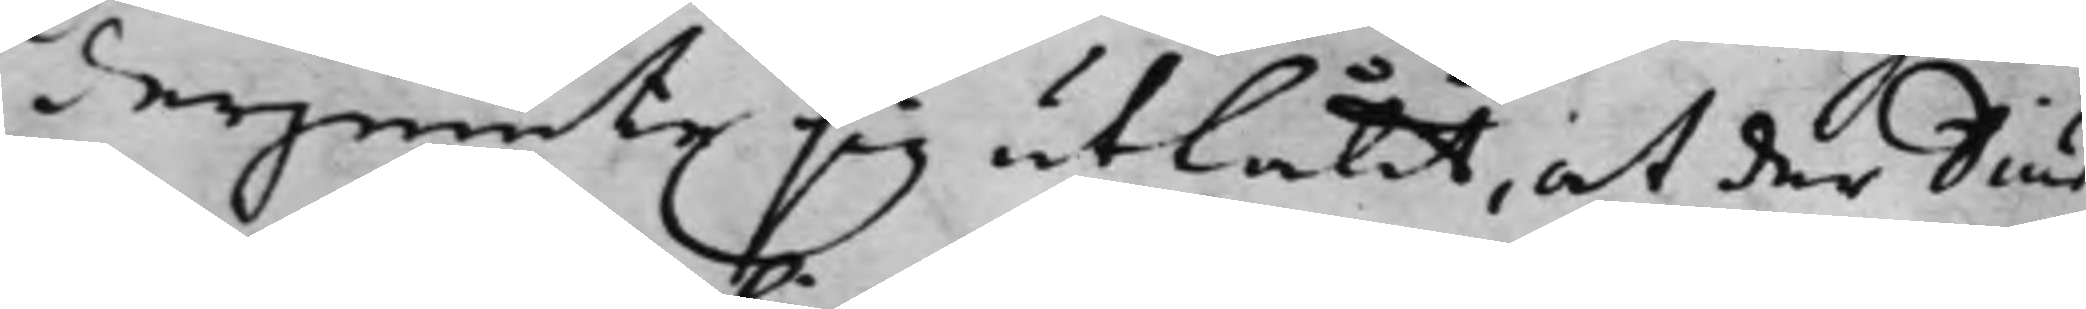derjemte sig utlåtit, at der Diur¬
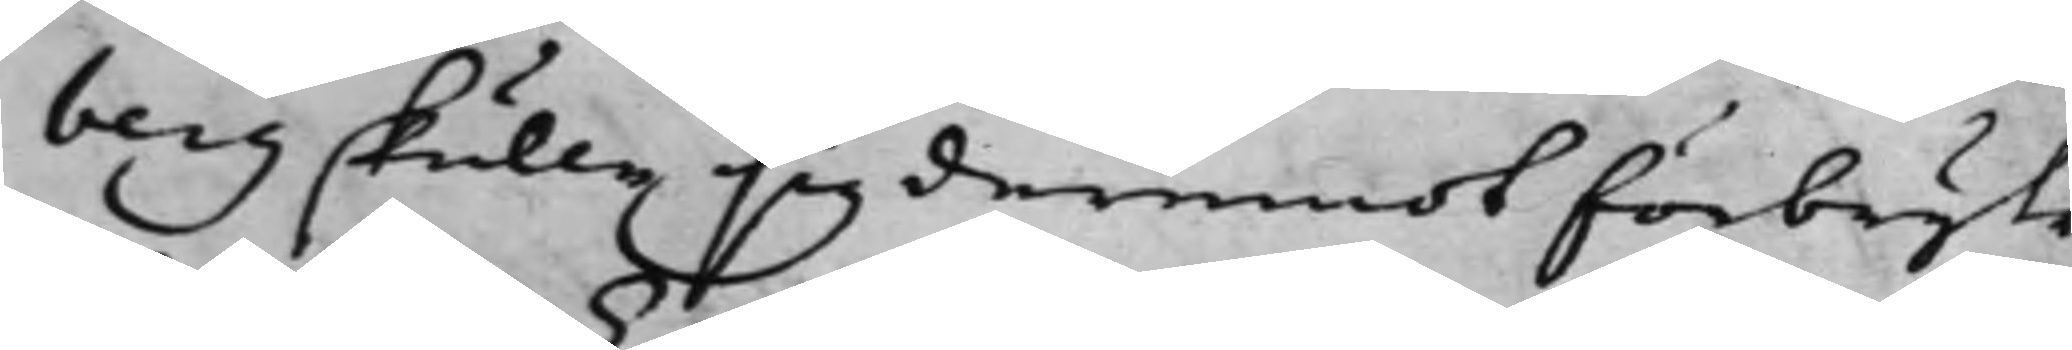berg skulle sig deremot förbryta,
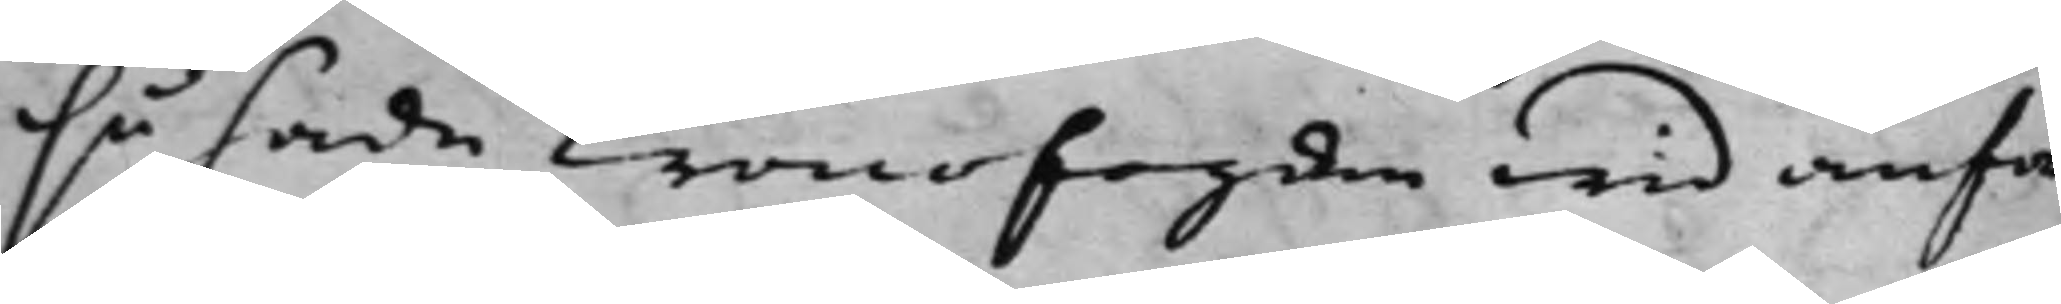så hade Cronofogden wid anfor¬
